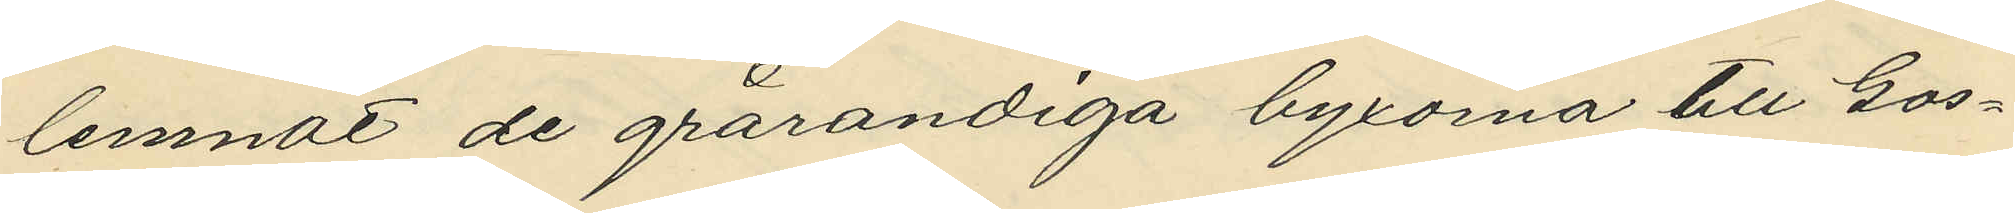lemnat de grårandiga byxorna till Gos¬
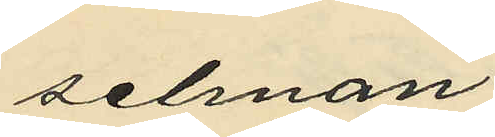selman,
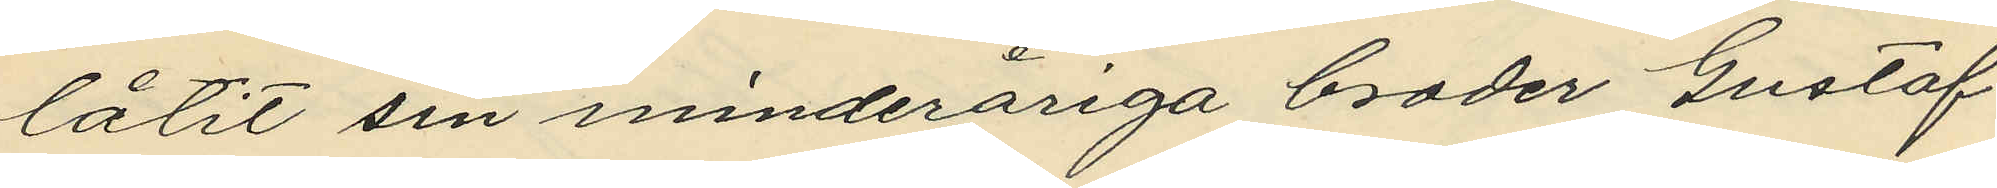låtit sin minderåriga broder Gustaf
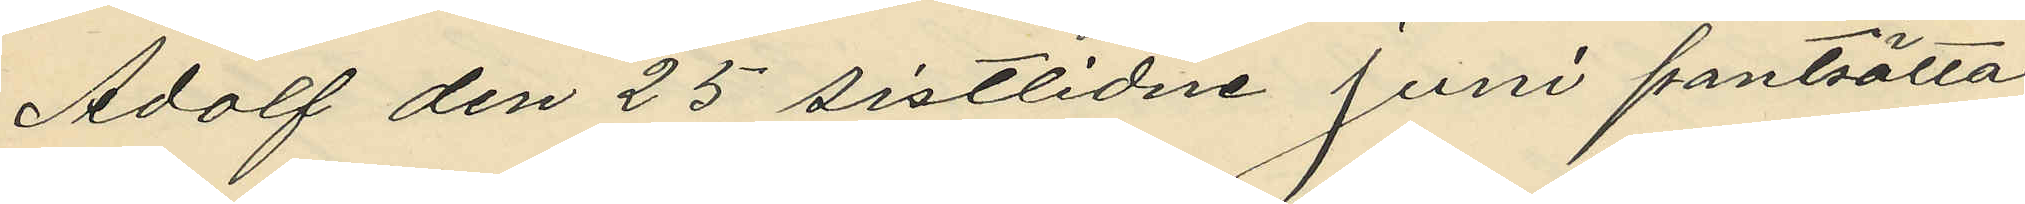Adolf den 25 sistlidne Juni pantsätta
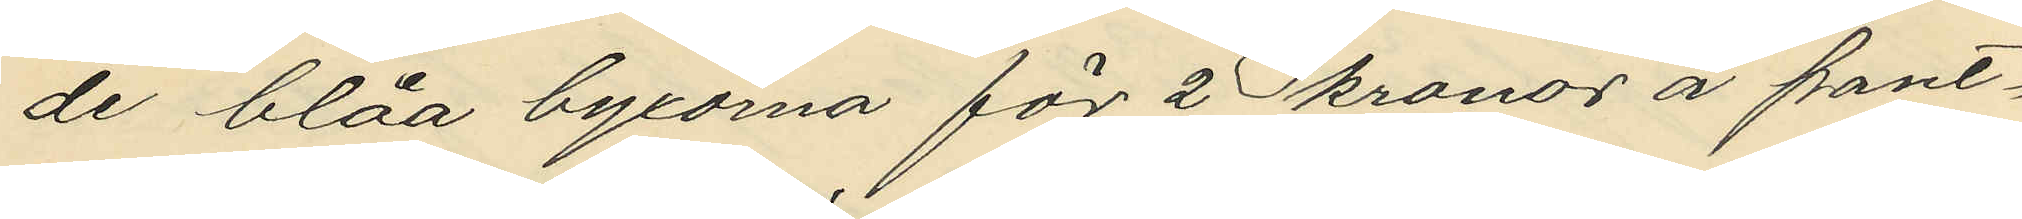de blåa byxorna för 2 kronor å pant¬
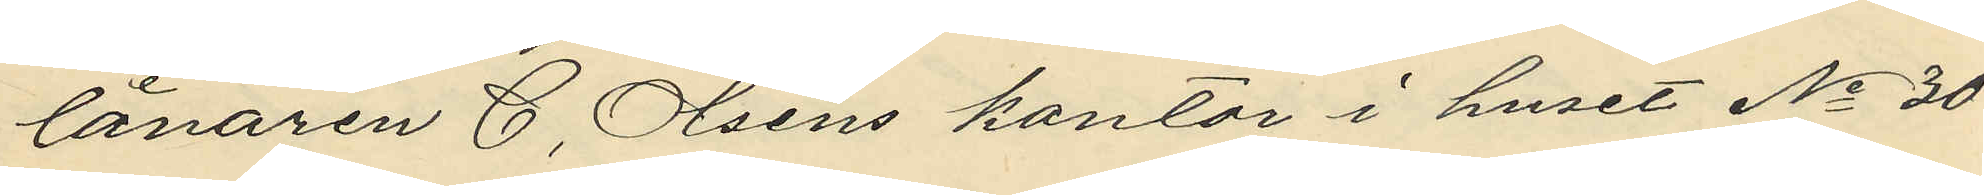lånaren C. Olséns kontor i huset No 30
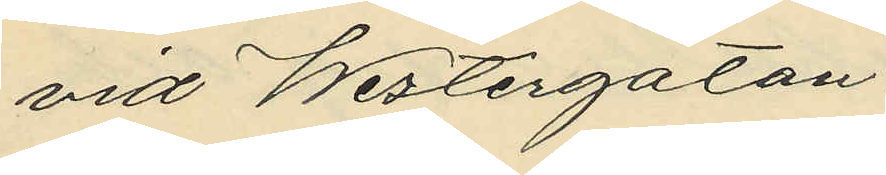vid Westergatan,
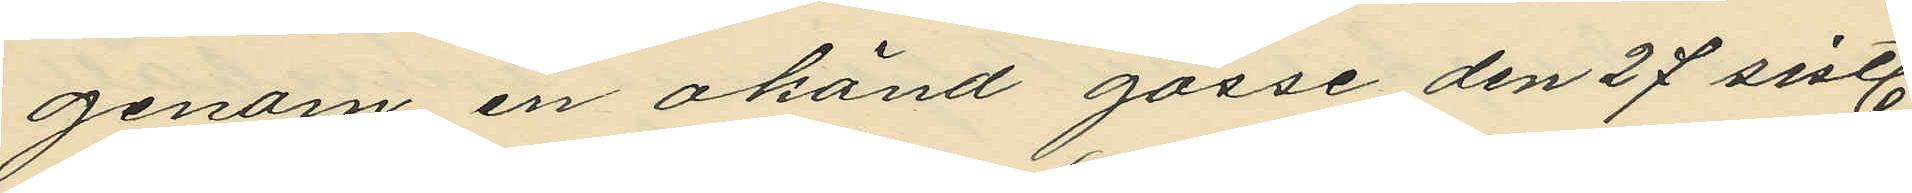genom en okänd gosse den 27 sistl.
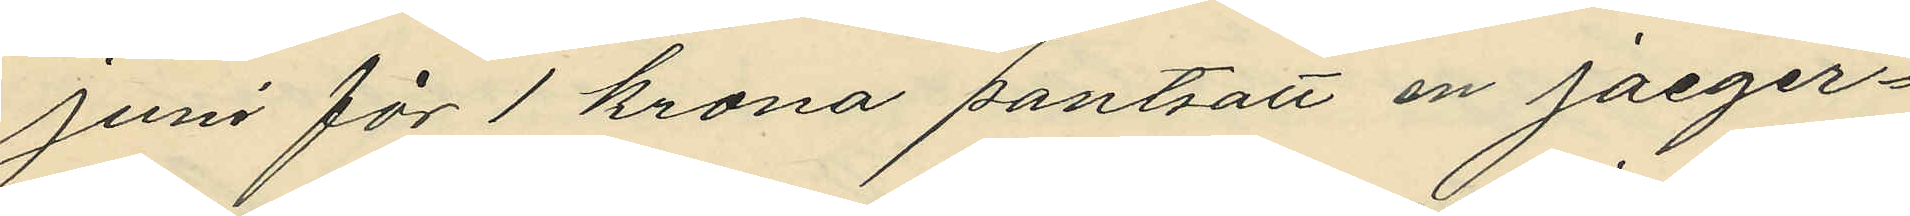Juni för 1 krona pantsatt en jaeger¬
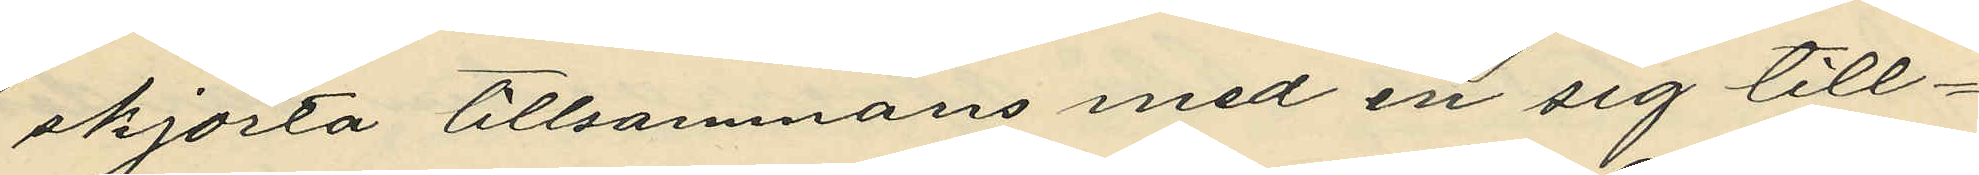skjorta tillsammans med en sig till¬
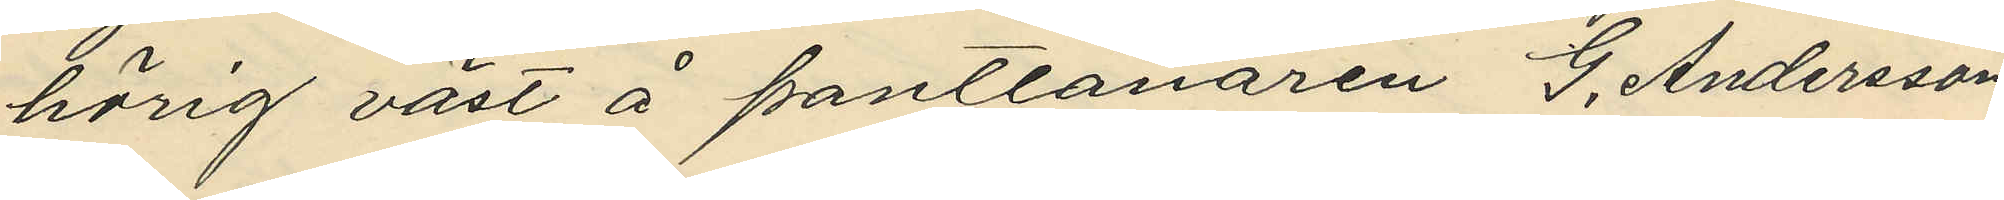hörig väst å pantlånaren G. Anderssons
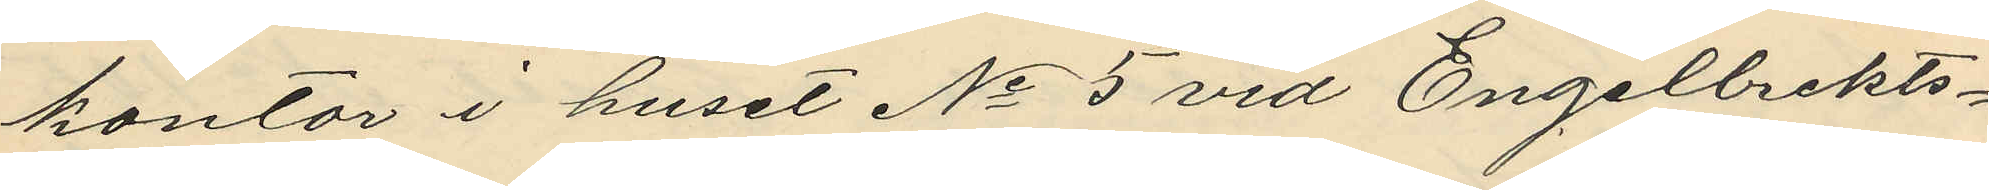kontor i huset No 5 vid Engelbrekts¬
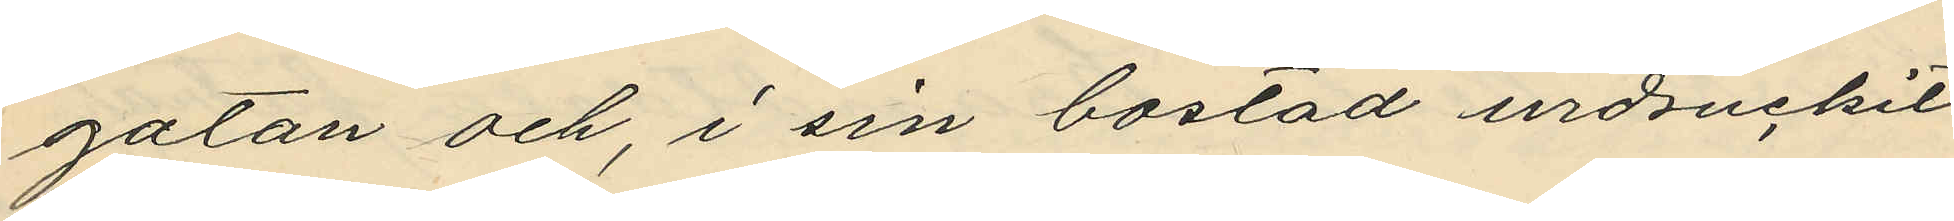gatan och, i sin bostad urdruckit
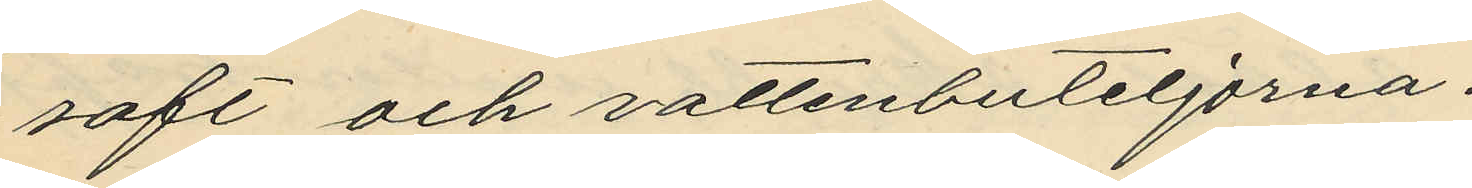saft och vattenbuteljorna,
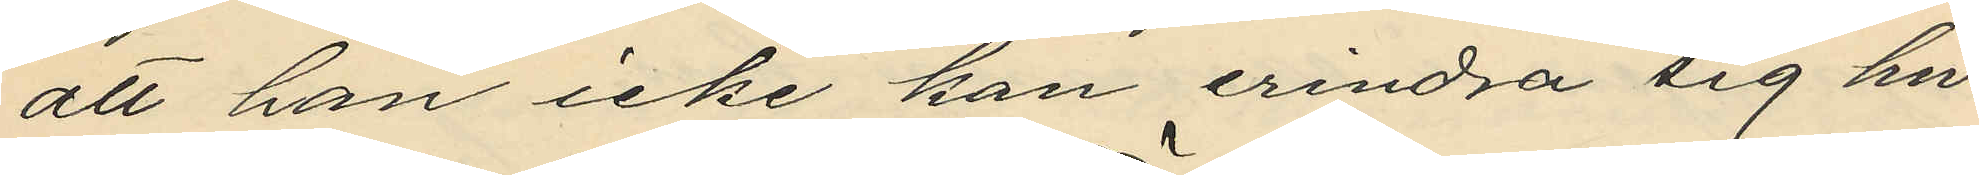att han icke kan erindra sig hu¬
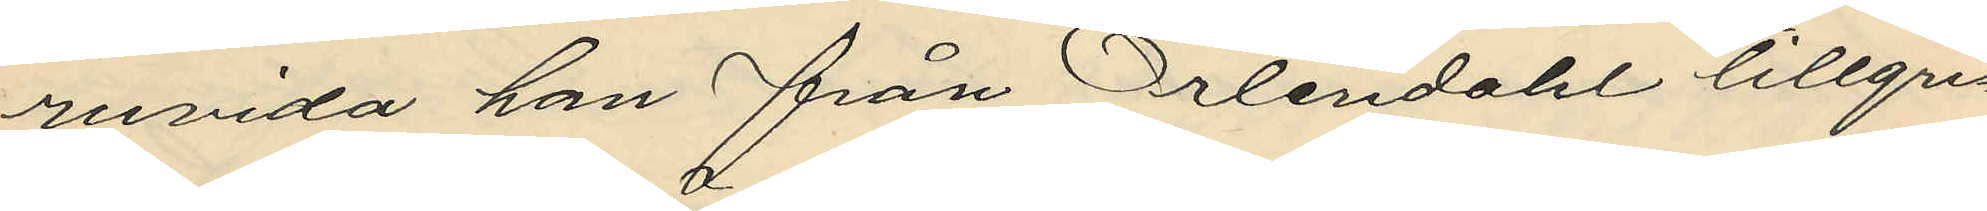ruvida han från Örtendahl tillgri¬
